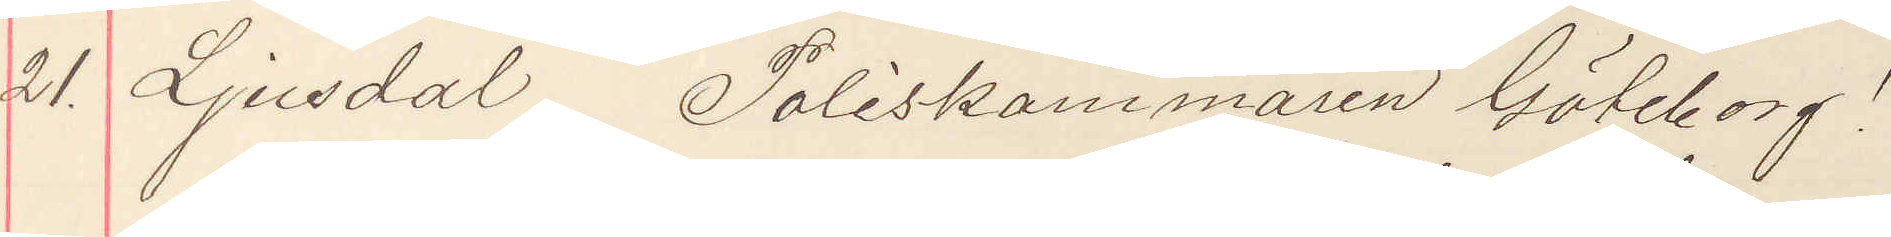21. Ljusdal Poliskammaren Göteborg!
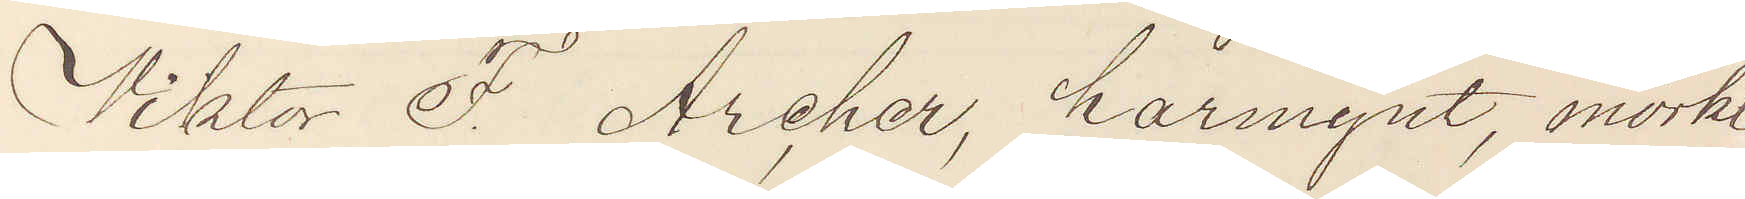Viktor F. Archer, harmynt, mörkt
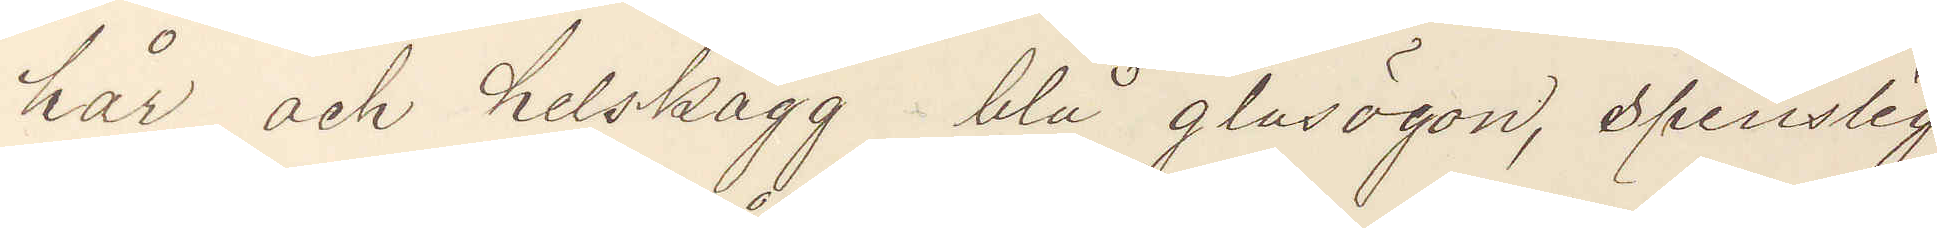hår och helskägg blå glasögon, spenslig
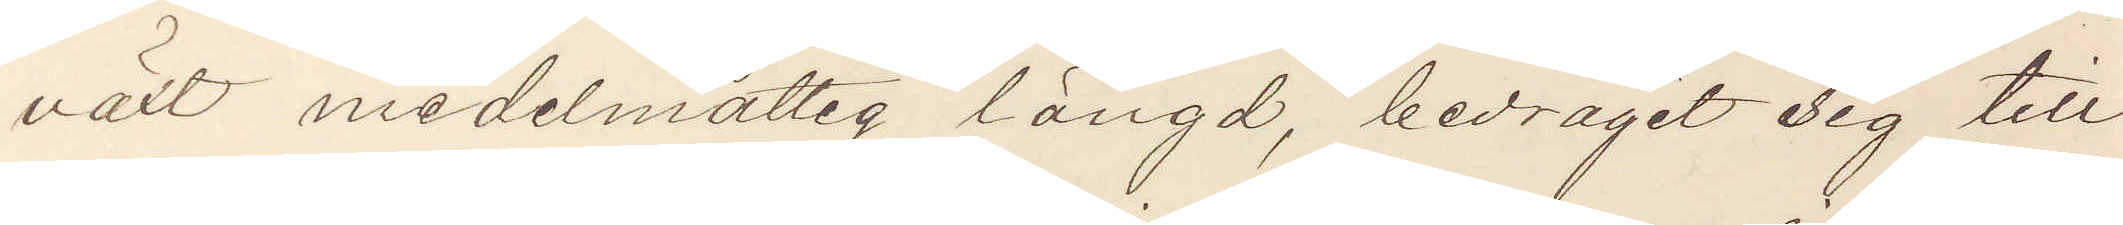växt medelmåttig längd, bedragit sig till
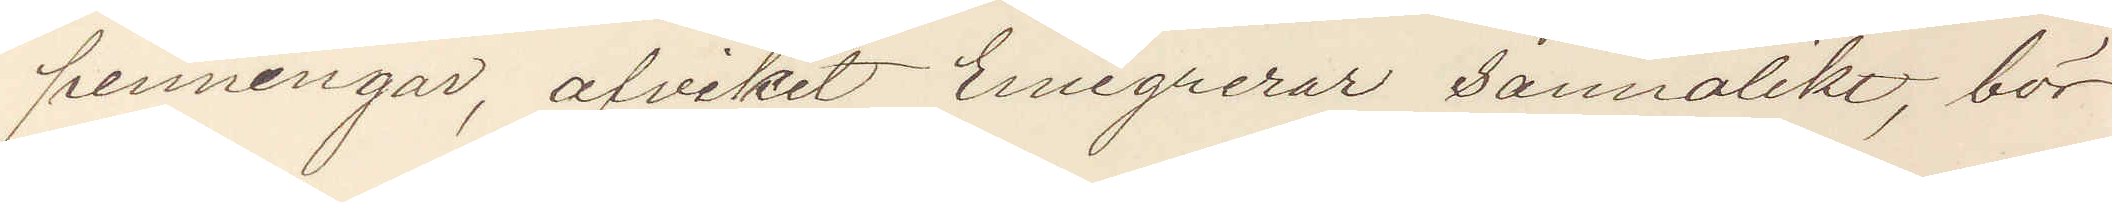penningar, afvikit Emigrerar sannolikt, bör
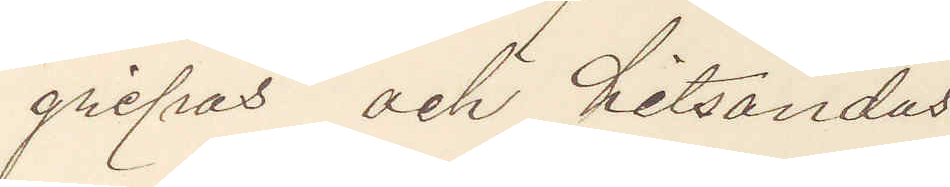gripas och hitsändas
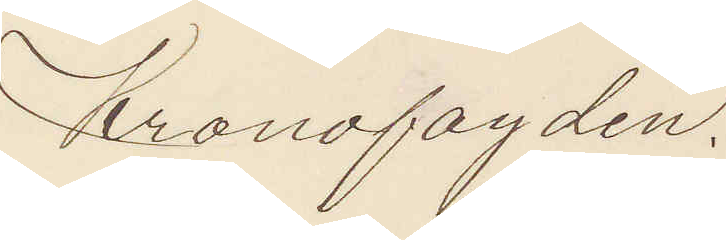Kronofogden.
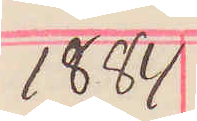1884
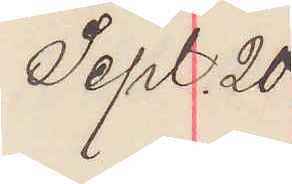Sept. 20
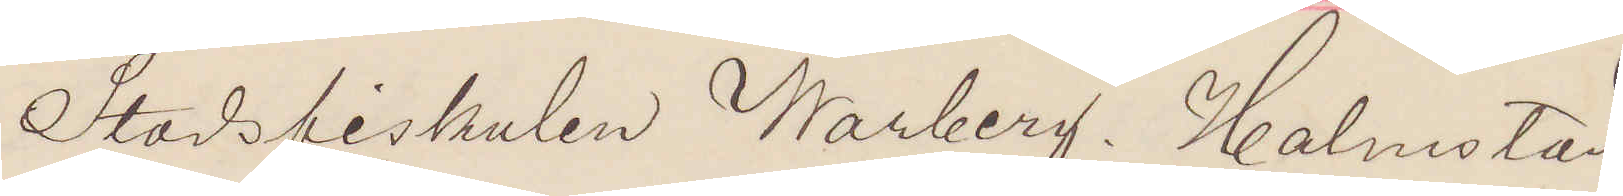Stadsfiskalen Warberg. Halmstad
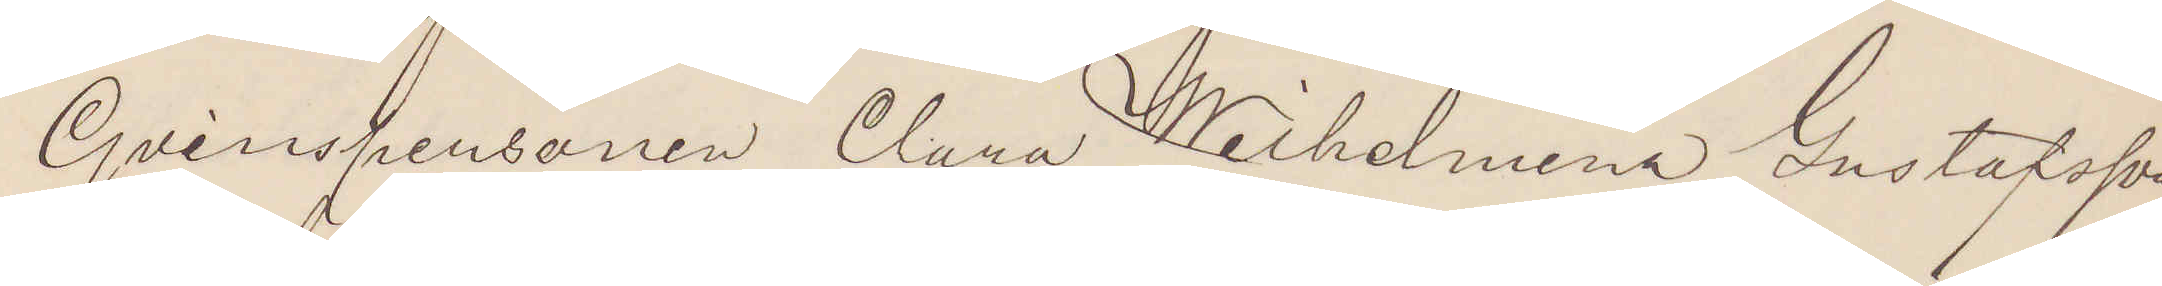Qvinspersonen Clara Wilhelmina Gustafsson
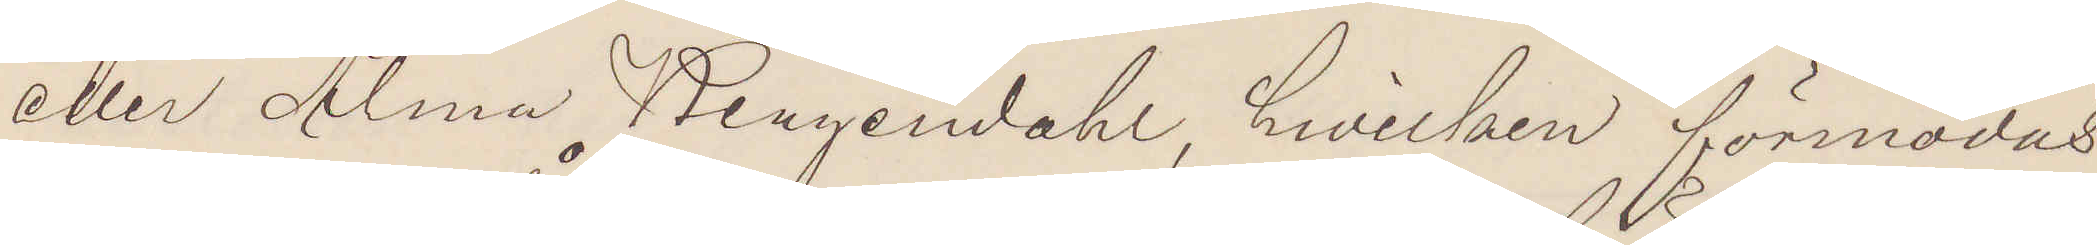eller Alma Bergendahl, hvilken förmodas
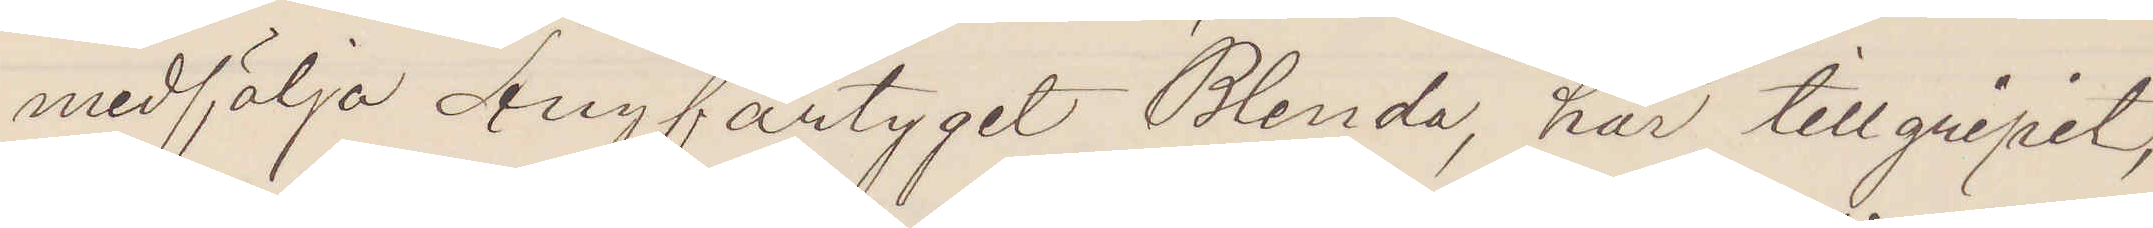medfölja Ångfartyget Blenda, har tillgripit,
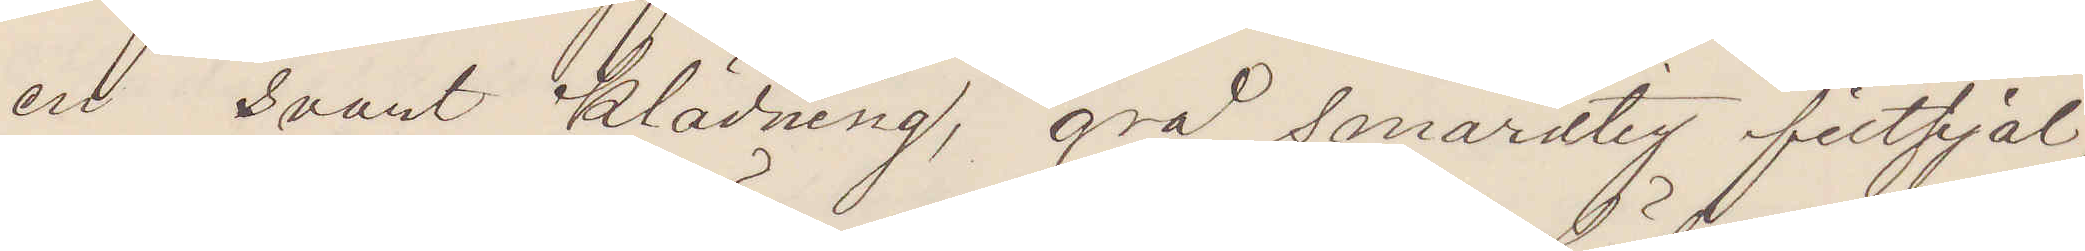en svart klädning, grå smårutig filtsjal,
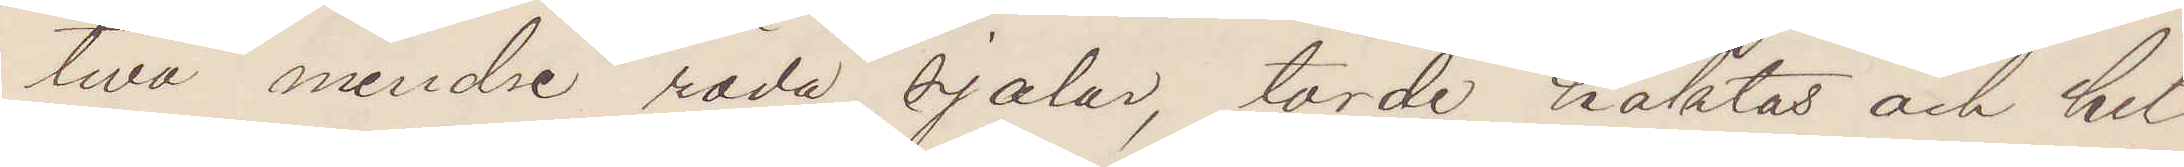twå mindre röda sjalar, torde häktas och hit¬
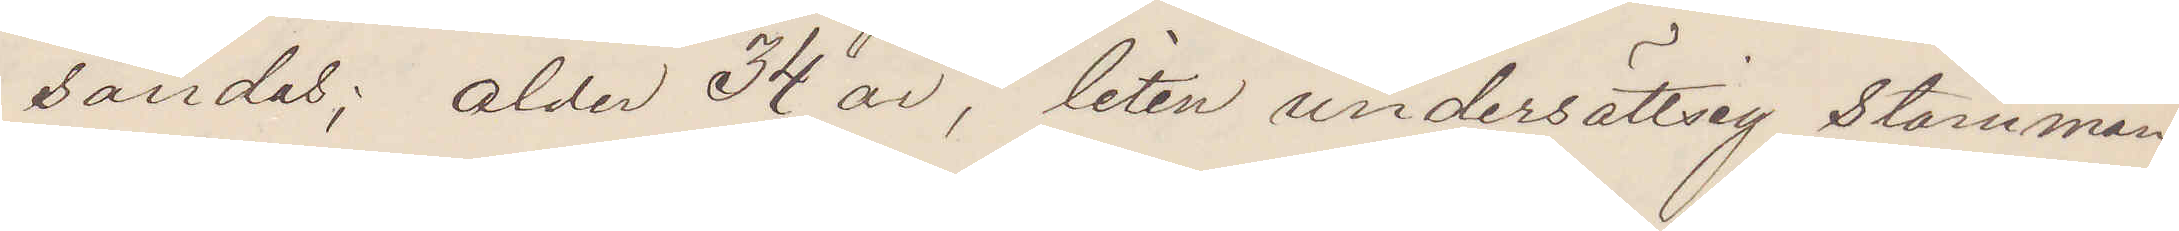sändas; ålder 34 år, liten undersättsig, stamman¬
